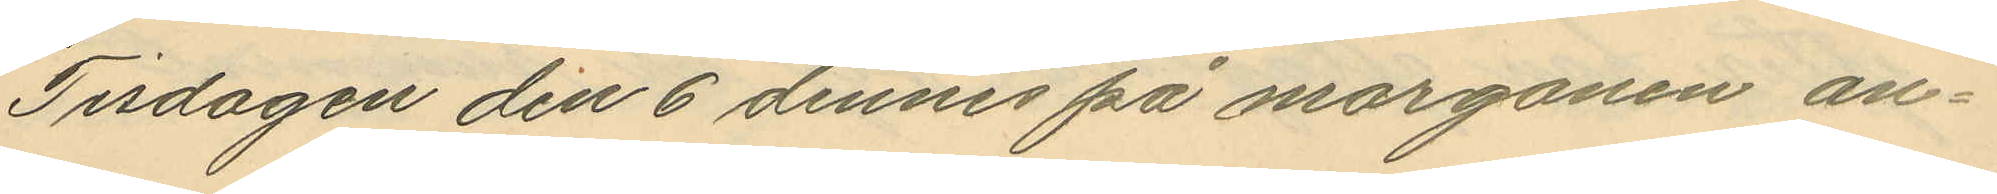Tisdagen den 6 dennes på morgonen an¬
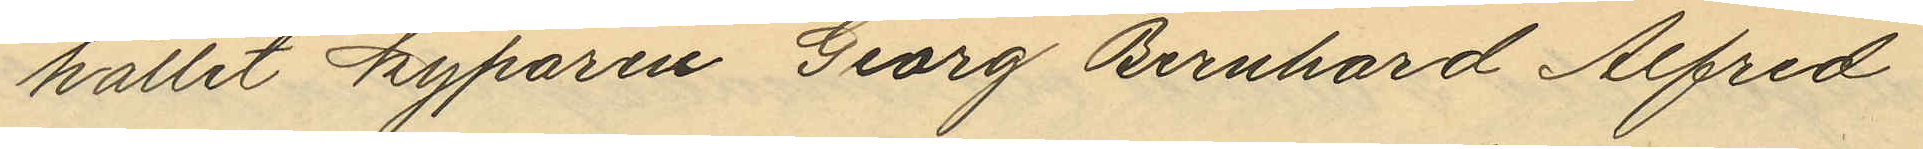hållit kyparen Georg Bernhard Alfred
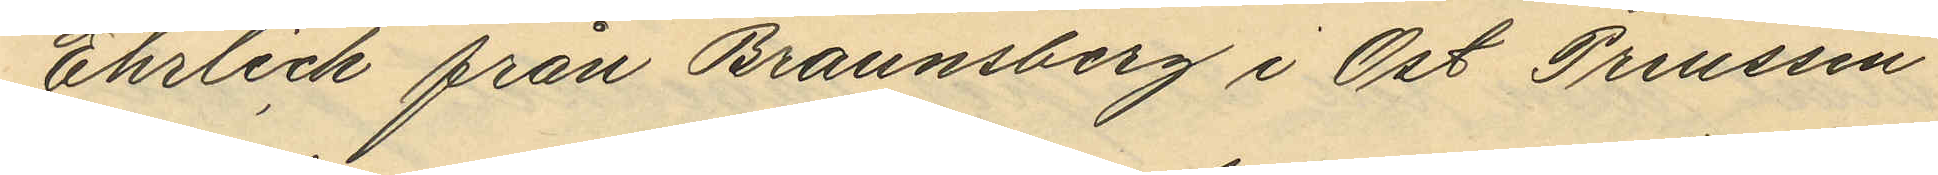Ehrlich från Braunsberg i Ost Preussen
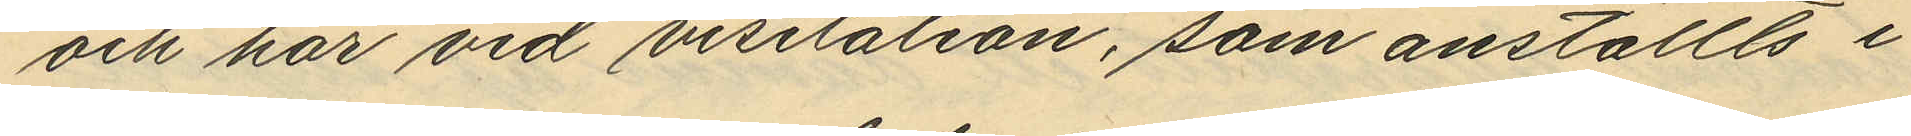och har vid visitation, som anställts i
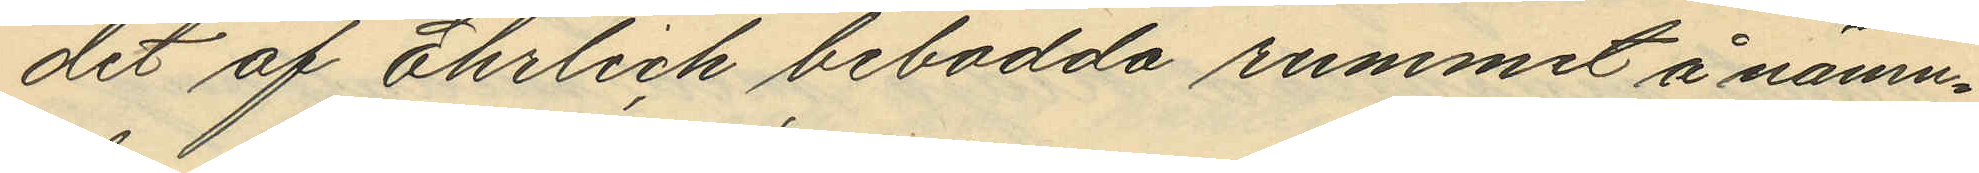det af Ehrlich bebodda rummet å nämn¬
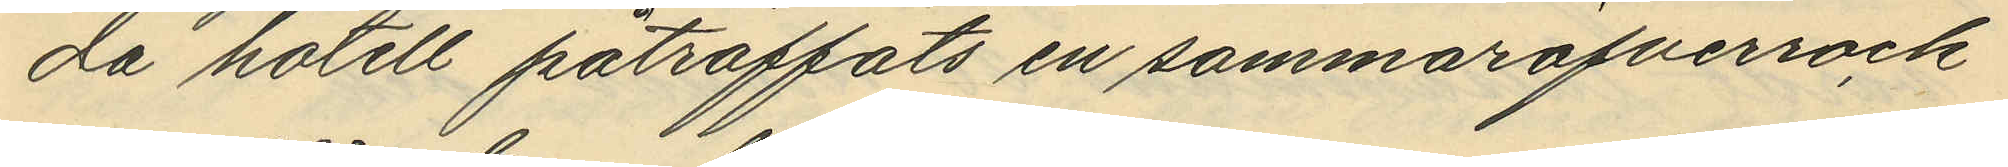da hotell påträffats en sommaröfverrock
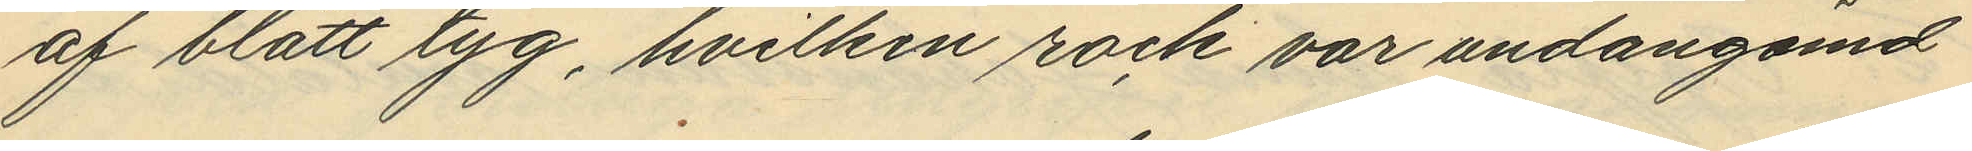af blått tyg, hvilken rock var undangömd
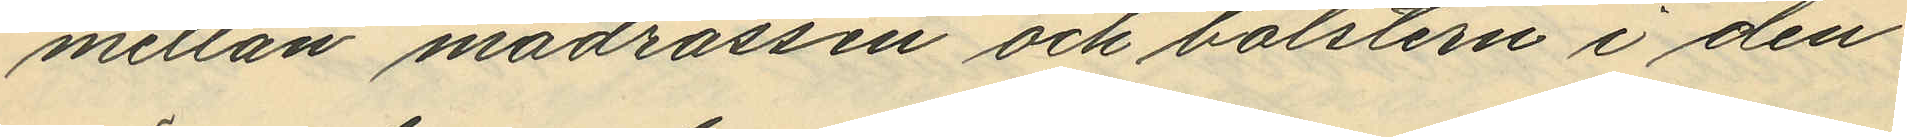mellan madrassen och bolstern i den
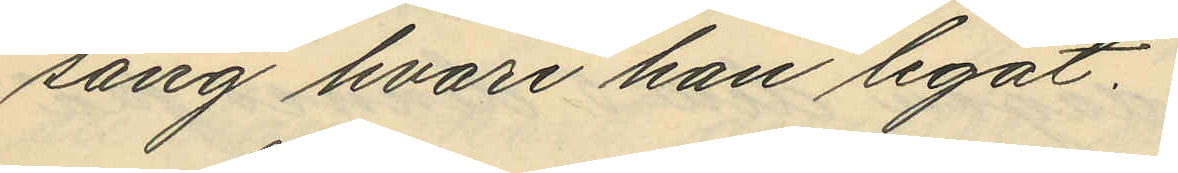säng hvari han legat.
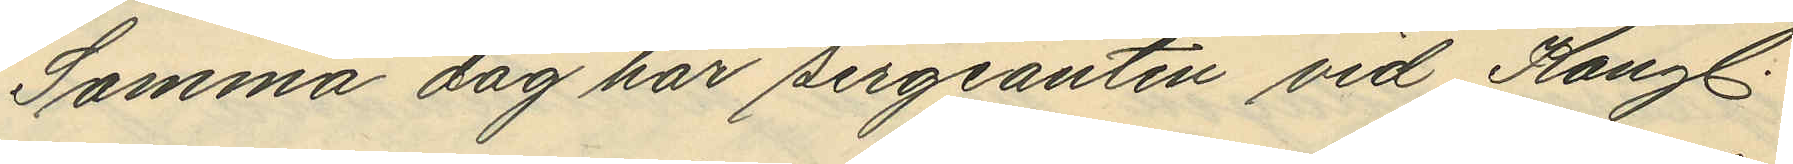Samma dag har sergeanten vid Kungl.
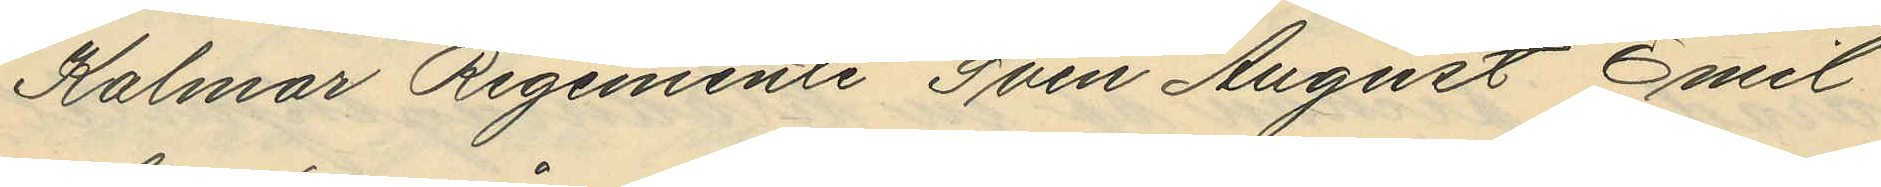Kalmar Regemente Sven August Emil
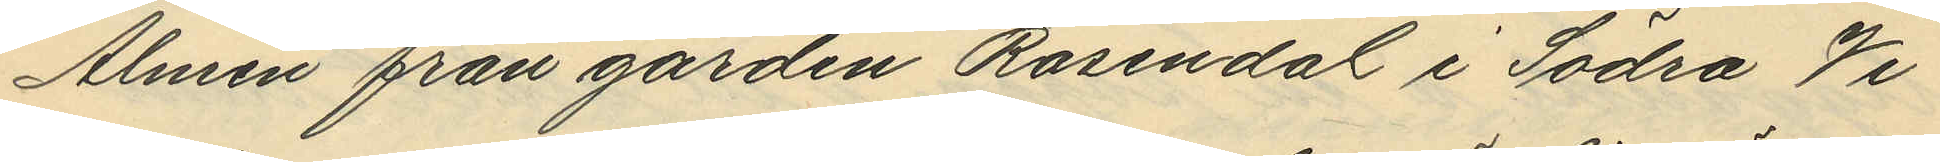Almén från gården Rosendal i Södra Vi
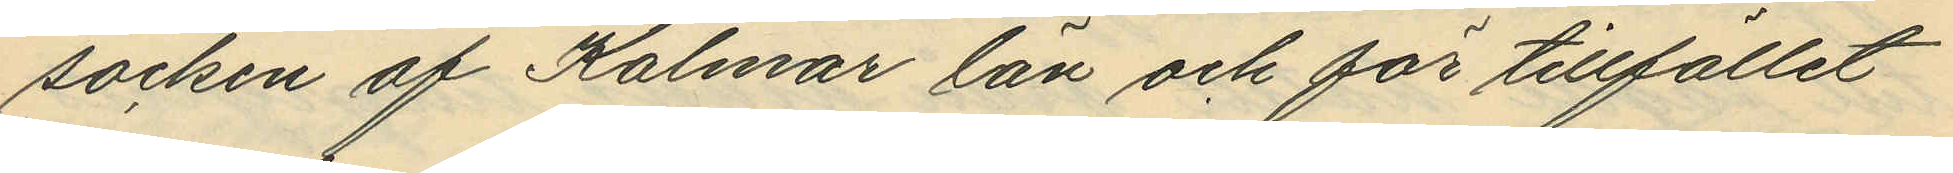socken af Kalmar län och för tillfället
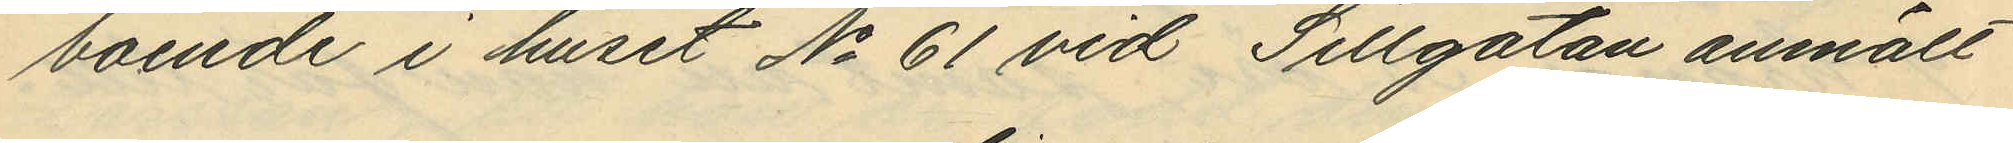boende i huset No 61 vid Sillgatan anmält
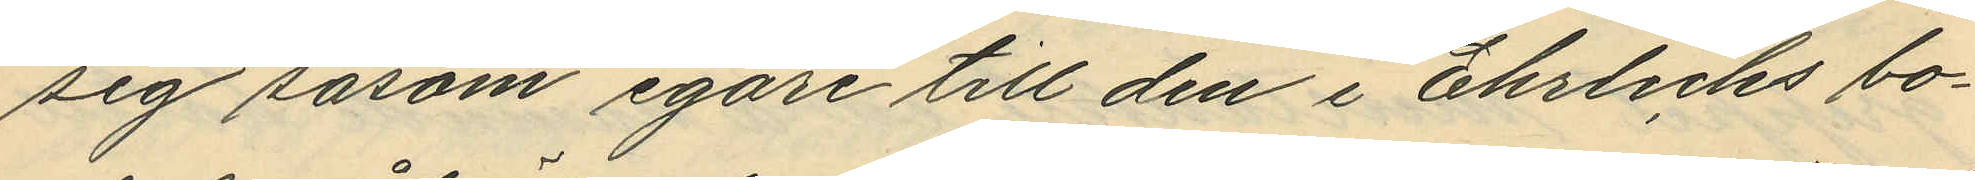sig såsom egare till den i Ehrlichs bo¬
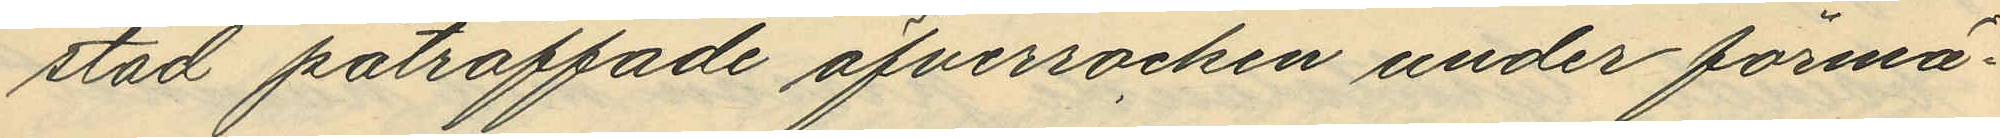stad påträffade öfverrocken under förmä¬
